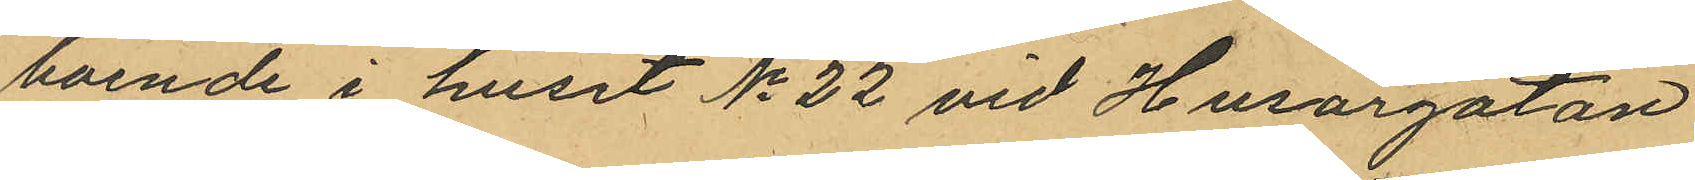boende i huset No 22 vid Husargatan
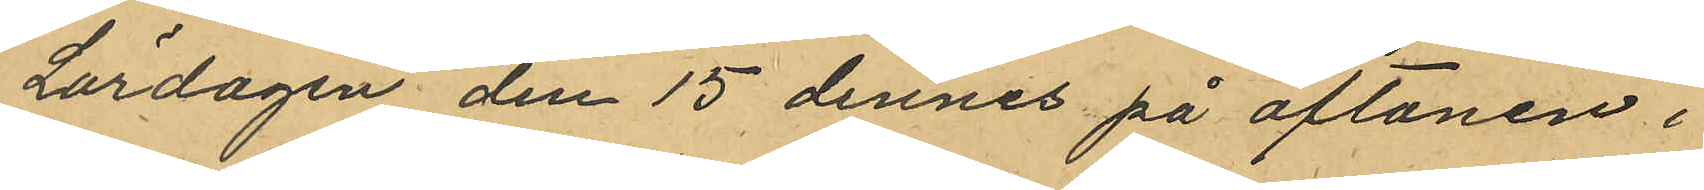Lördagen den 15 dennes på aftonen i
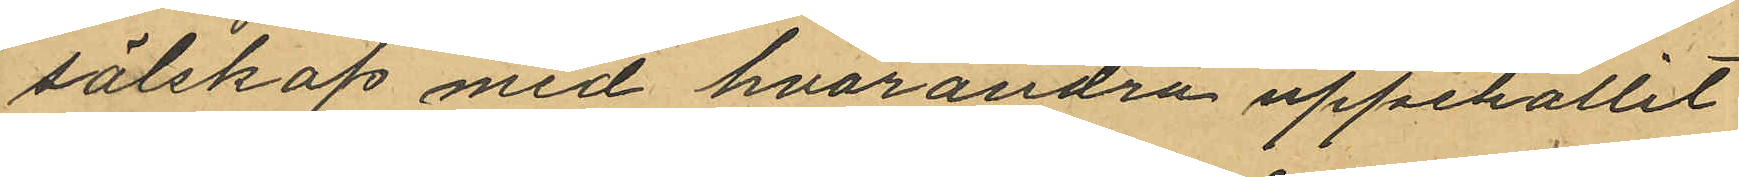sälskap med hvarandra uppehållit
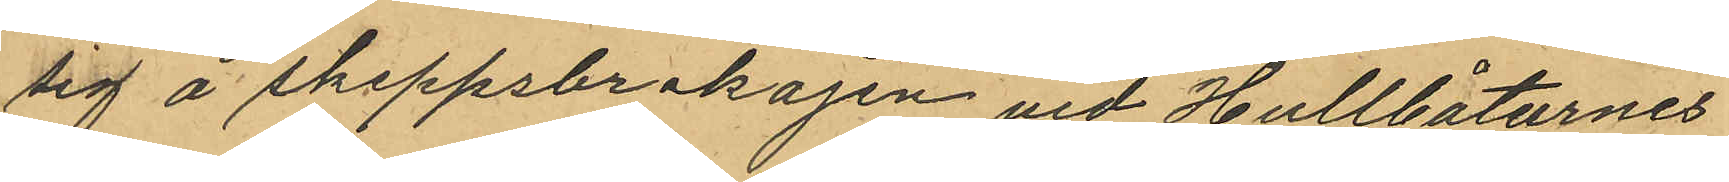sig å Skeppsbrokajen vid Hullbåtarnes
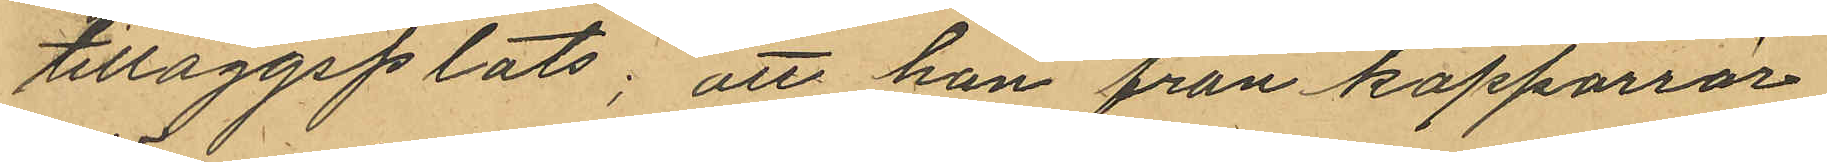tilläggsplats; att han från kopparrör
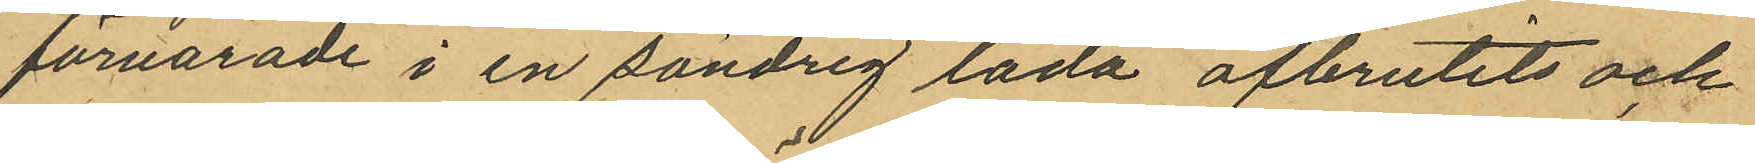förvarade i en söndrig låda afbrutits och
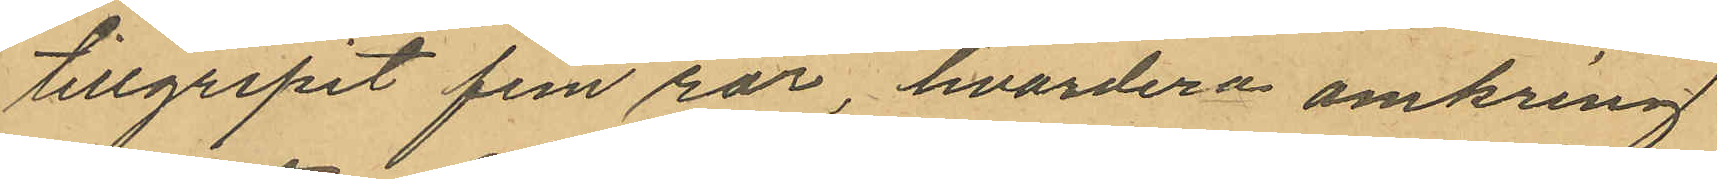tillgripit fem rör, hvardera omkring
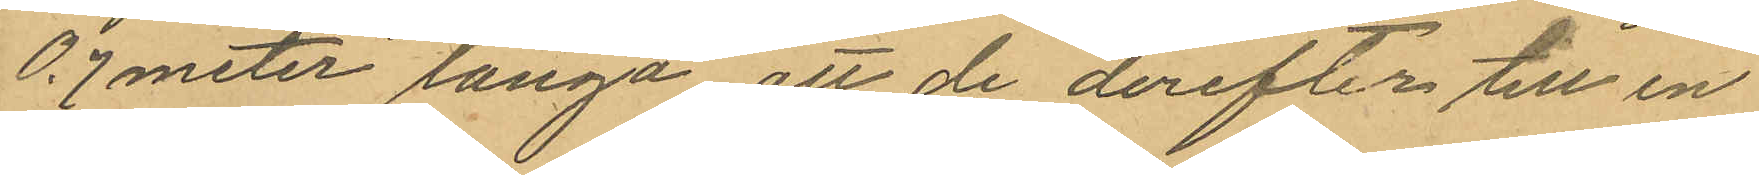0,7meter långa att de derefter till en
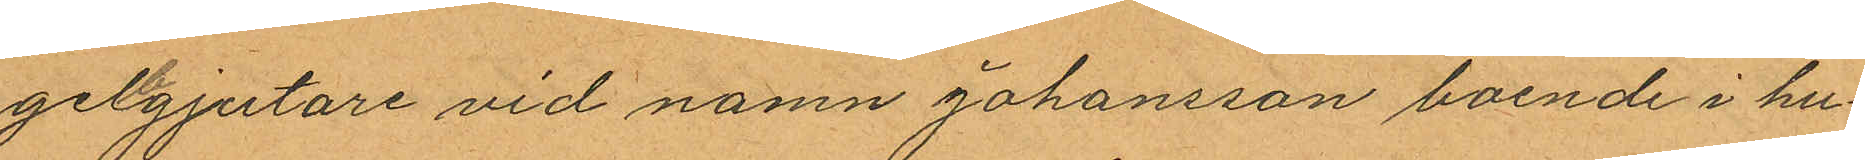gelbgjutare vid namn Johansson boende i hu¬
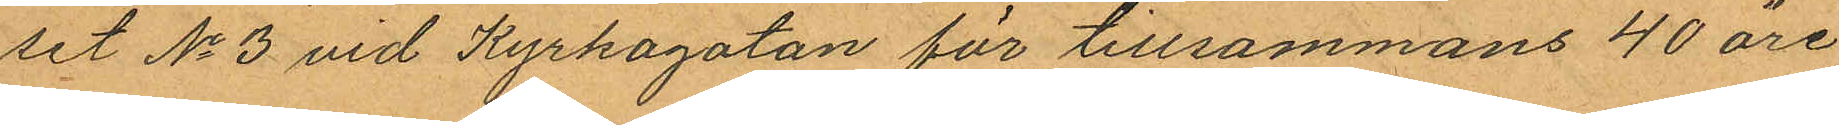set No 3 vid Kyrkogatan för tillsammans 40 öre
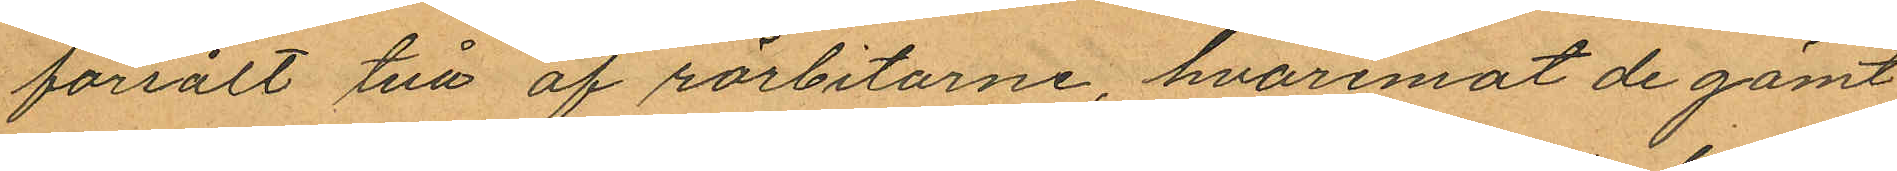försålt två af rörbitarne, hvaremot de gömt
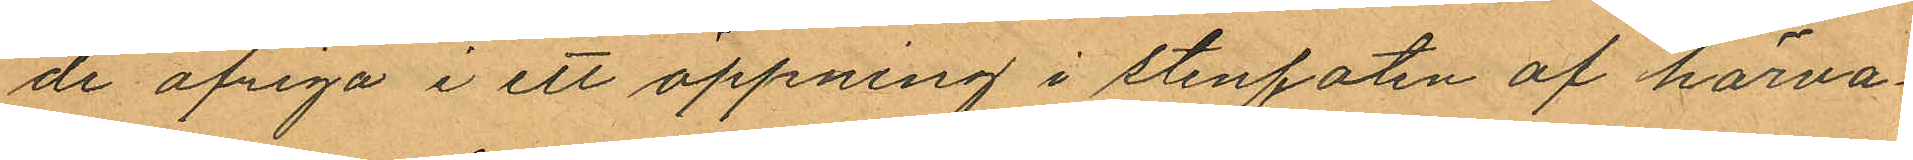de öfriga i ett öppning i stenfoten af härva¬
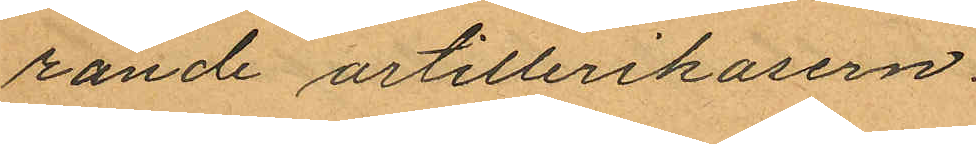rande artillerikasern.
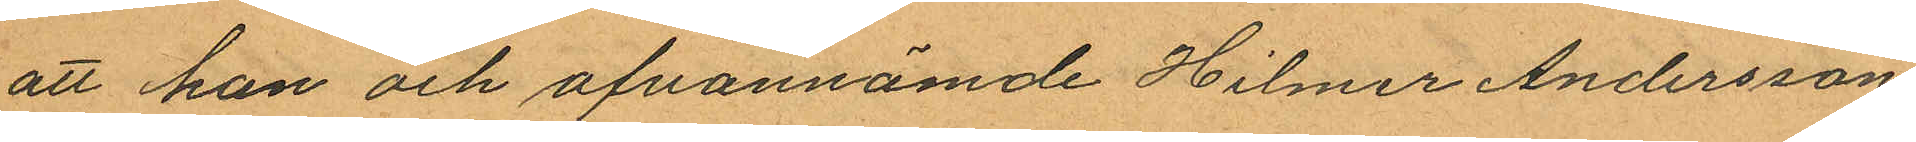att han och ofvannämde Hilmer Andersson
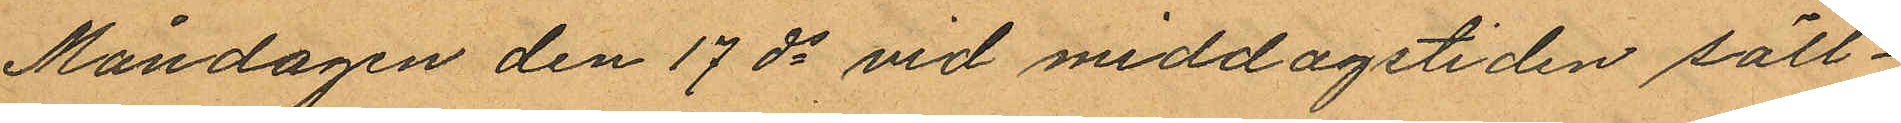Måndagen den 17 ds vid middagstiden säll¬
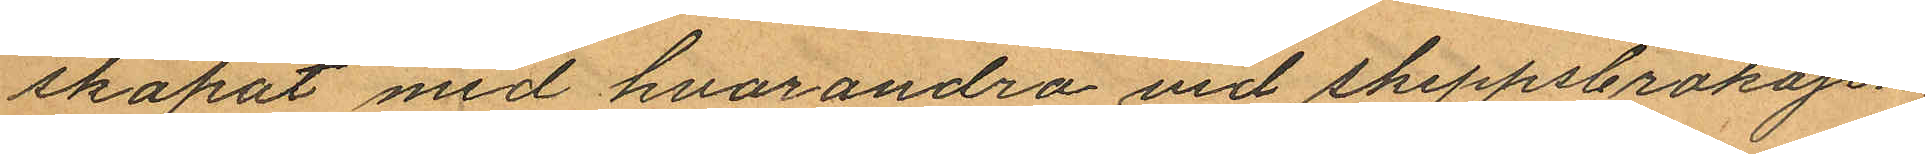skapat med hvarandra vid skeppsbrokajen
